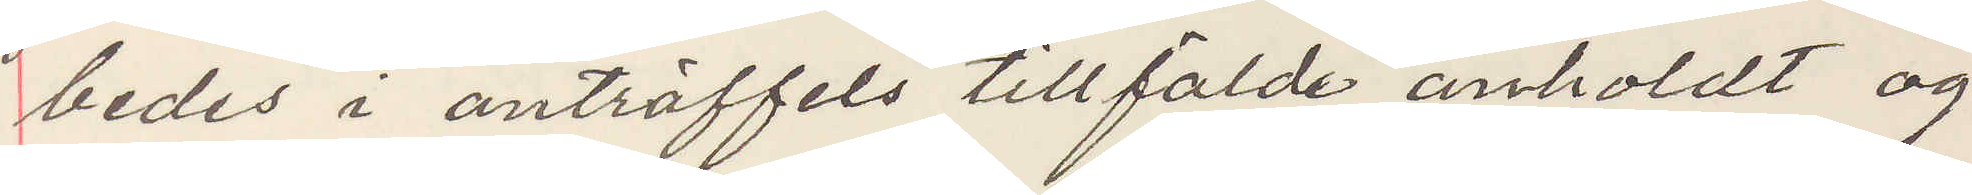bedes i anträffels tillfälde anholdt og
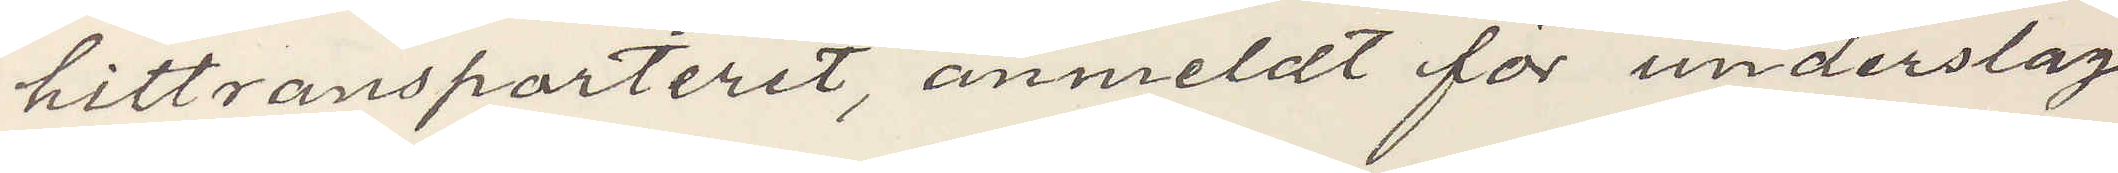hittransporteret, anmeldt för underslag
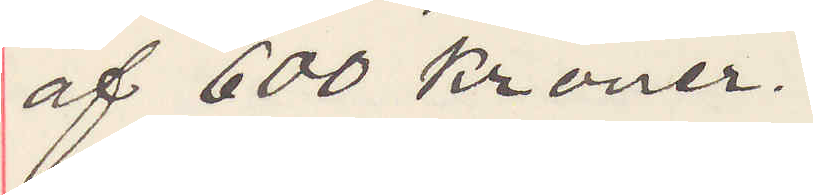af 600 Kronor.
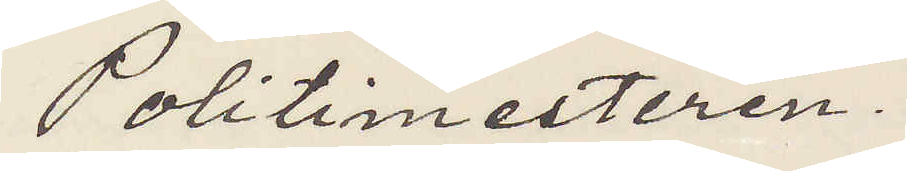Politimesteren.
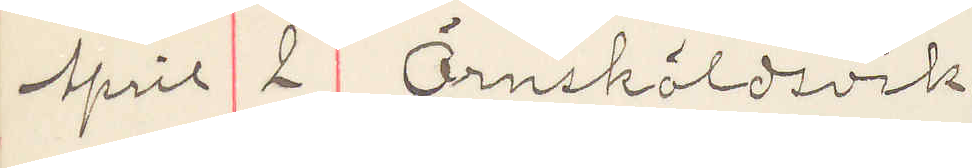April 2 Örnsköldsvik.
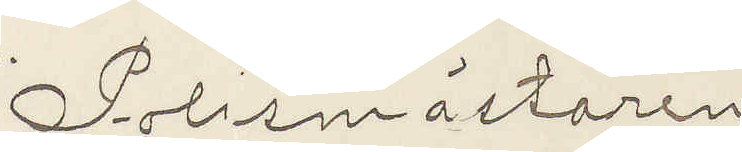Polismästaren
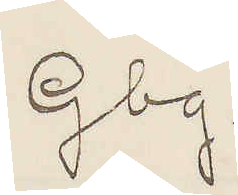Gbg.
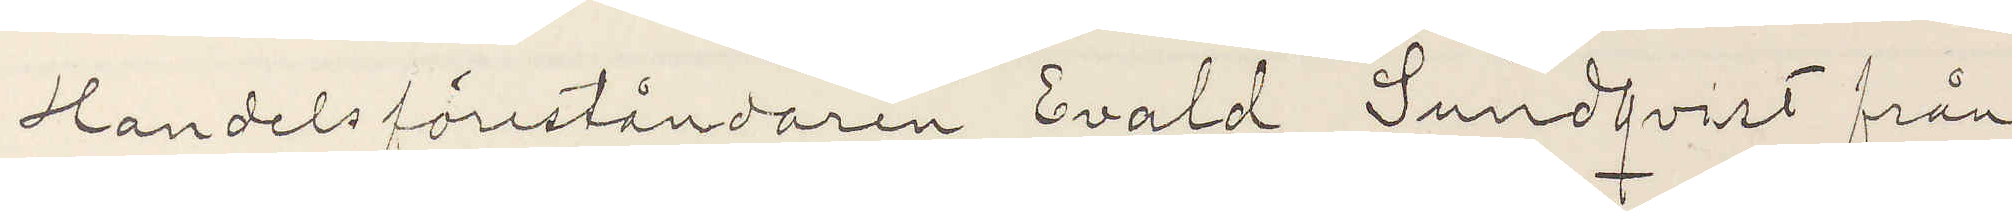Handelsföreståndaren Evald Sundqvist från
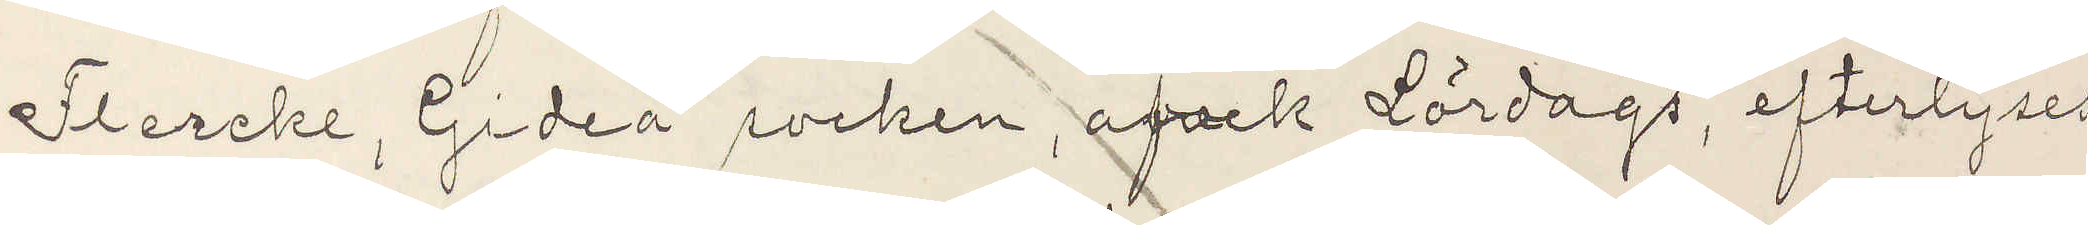Flercke, Gideå socken, afvek Lördags, efterlyses
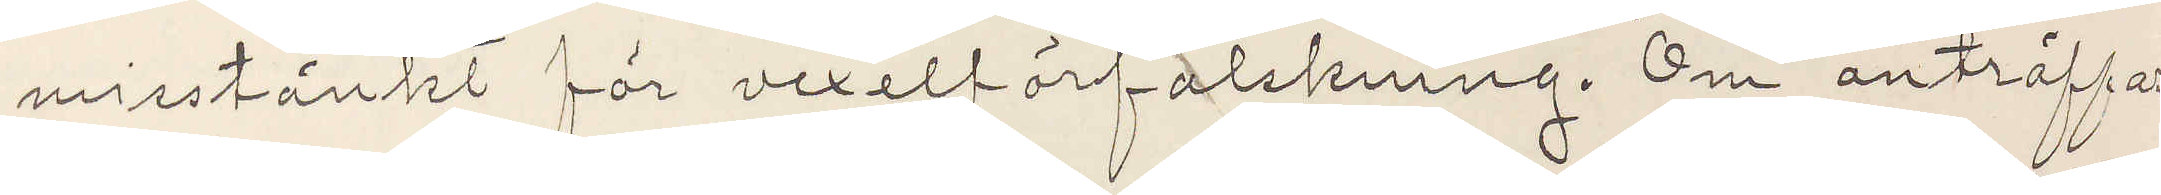misstänkt för vexelförfalskning. Om anträffas
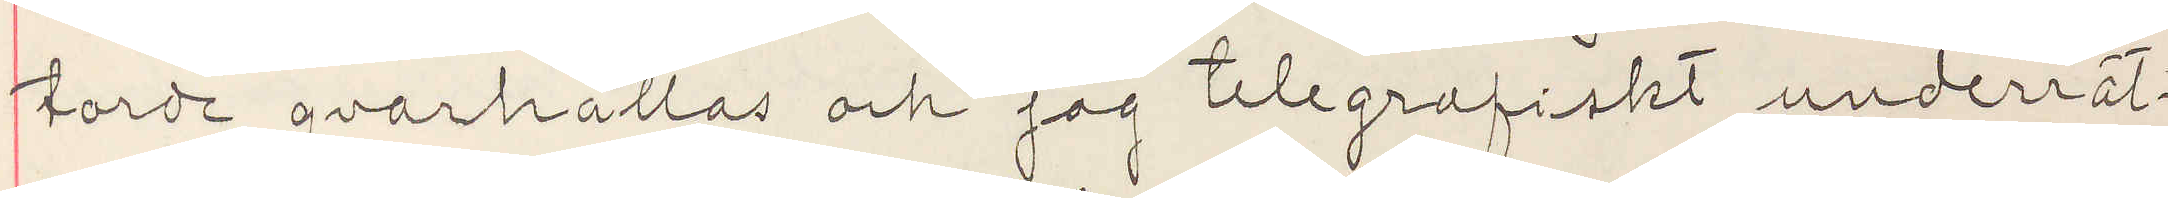torde qvarhållas och jag telegrafiskt underrät¬
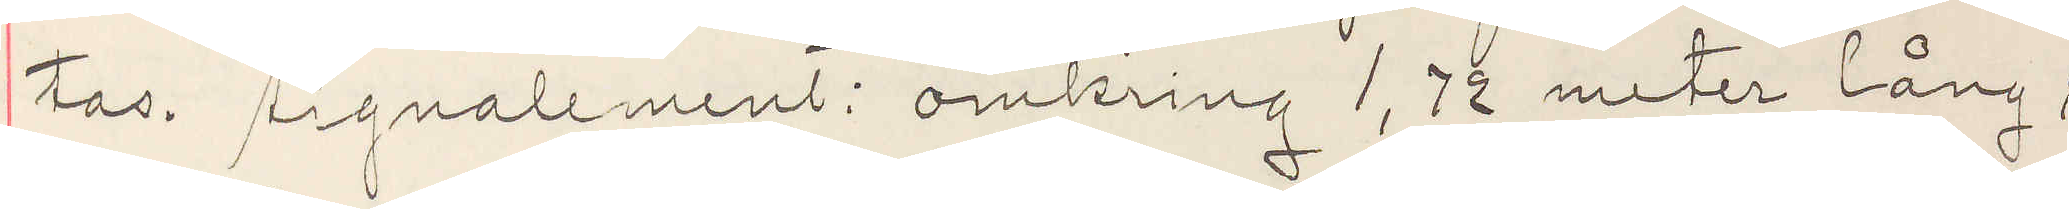tas. Signalement: omkring 1,72 meter lång;
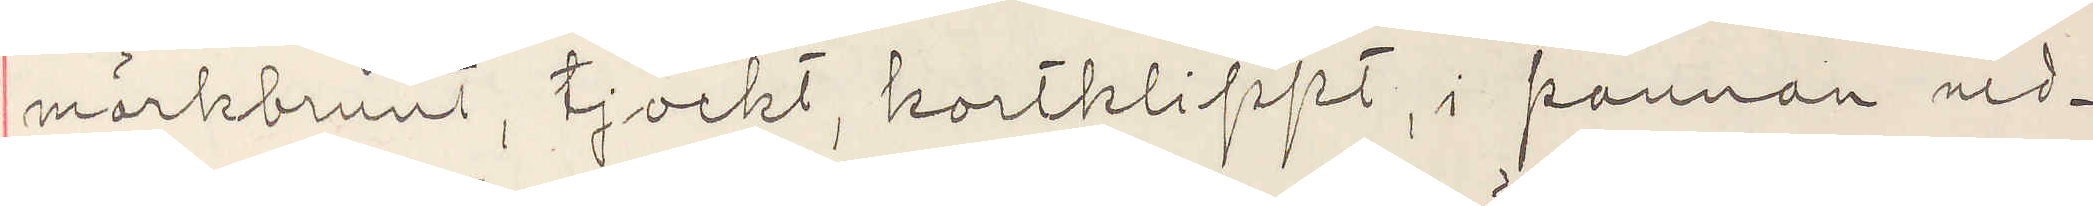mörkbrunt, tjockt, kortklippt, i pannan ned¬
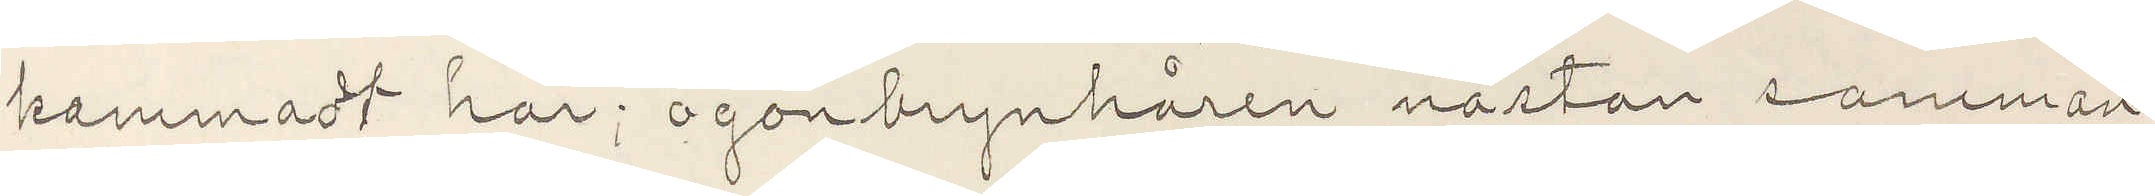kammadt hår; ögonbrynshåren nästan samman¬
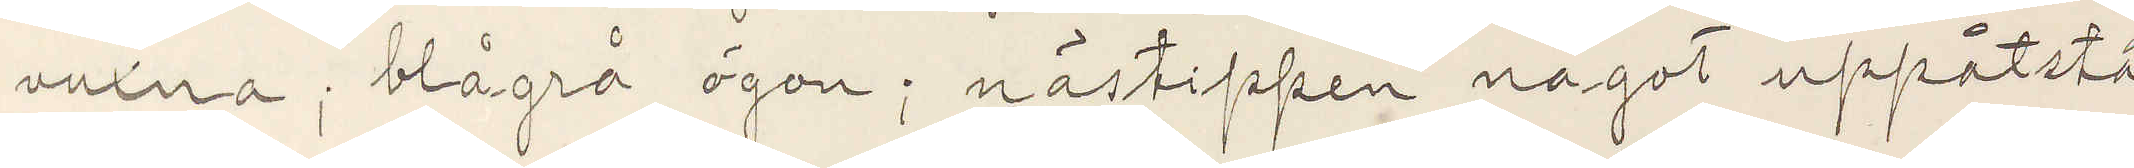vuxna; blågrå ögon; nästippen något uppåtstå¬
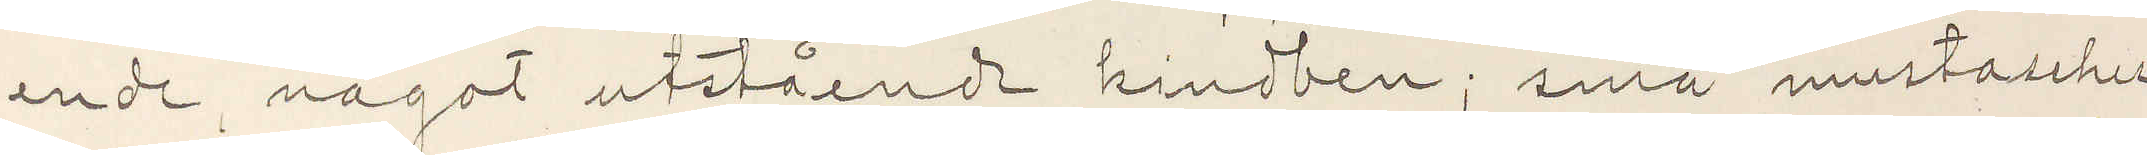ende, något utstående kindben; små mustascher
